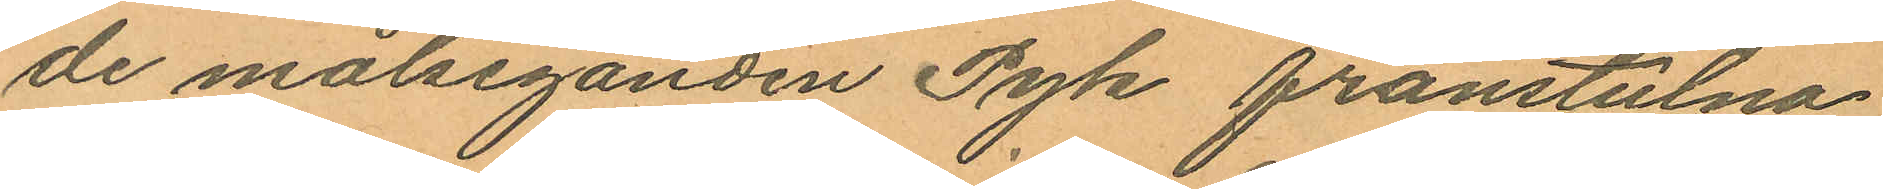de målseganden Pyk frånstulna
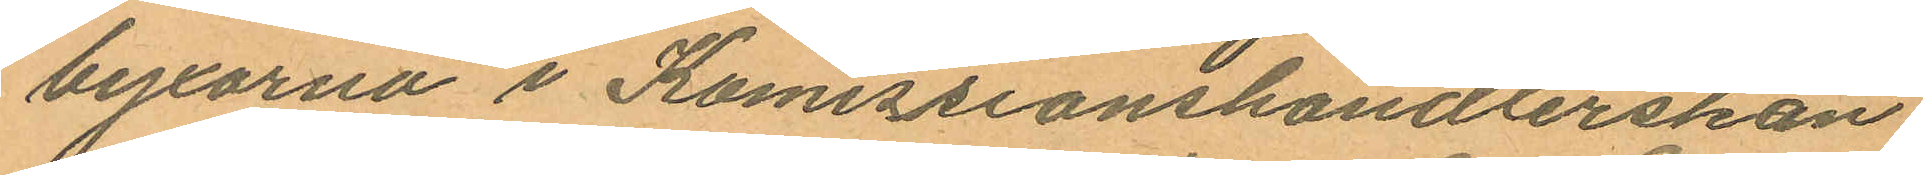byxorna i Komissionshandlerskan
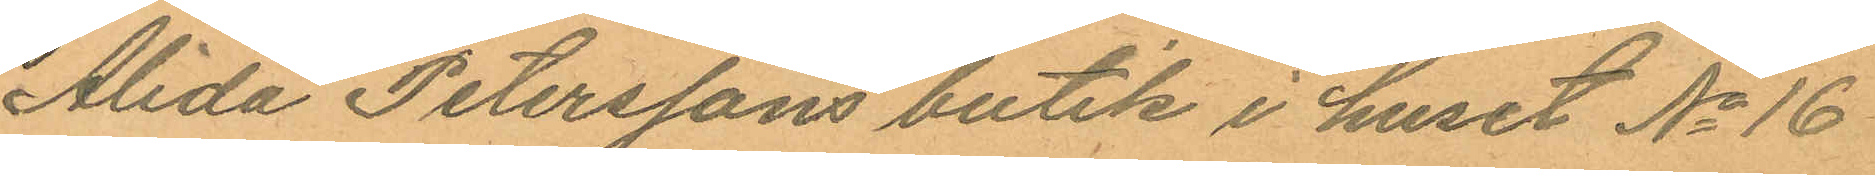Alida Peterssons butik i huset No 16
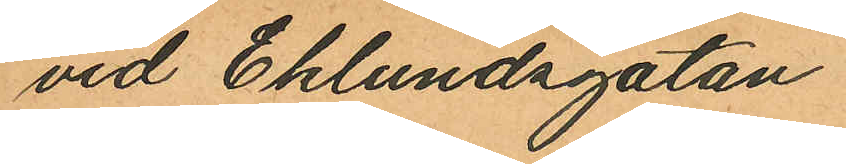vid Eklundsgatan.
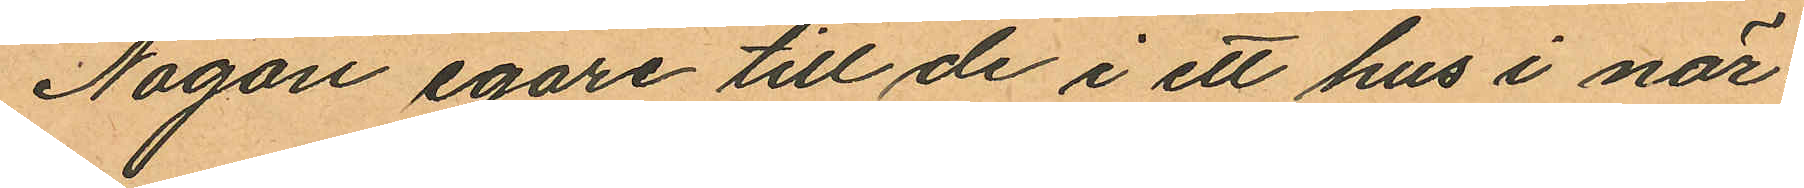Någon egare till de i ett hus i när¬
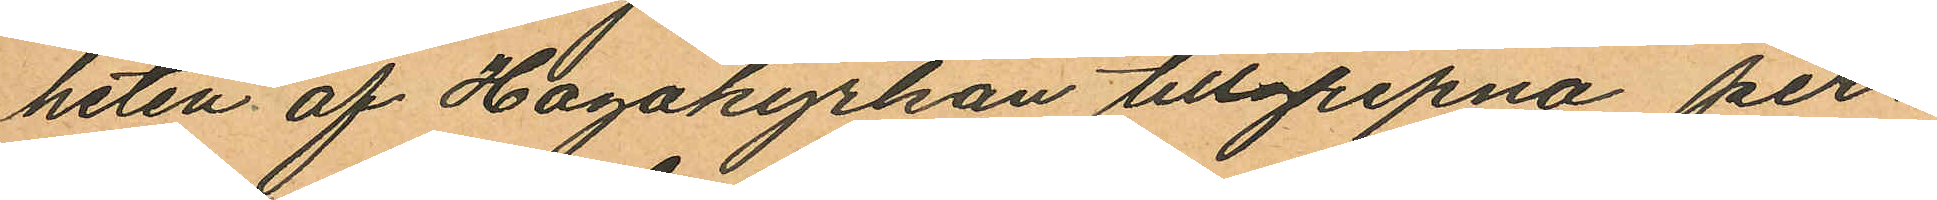heten af Hagakyrkan tillgripna per¬
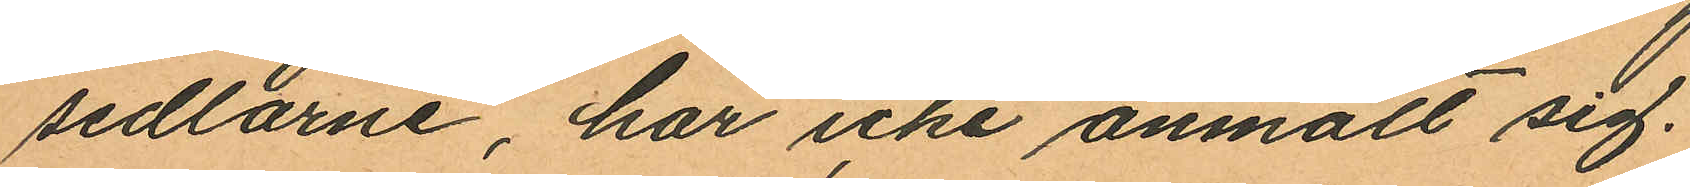sedlarne, har icke anmält sig.
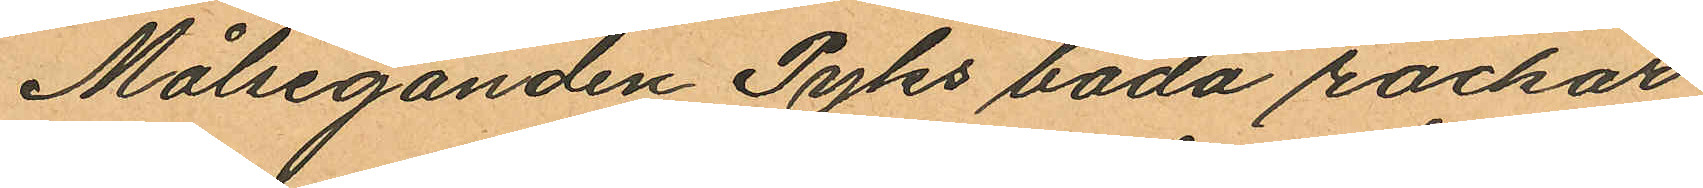Målseganden Pyks båda rockar
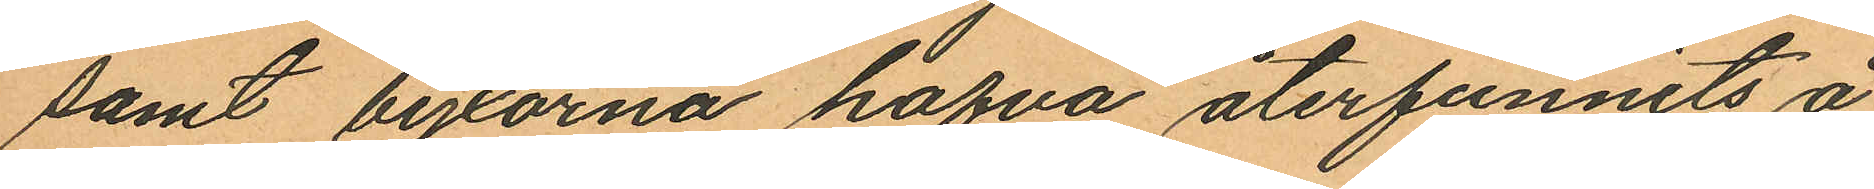samt byxorna hafva återfunnits å
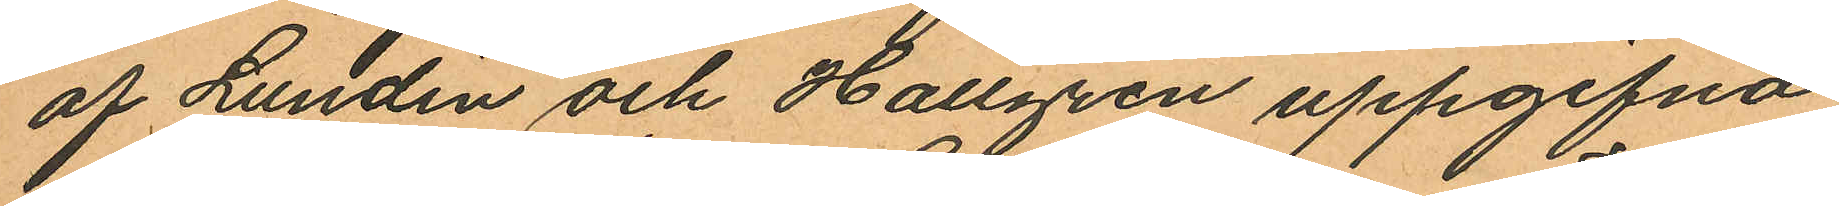af Lundin och Hallgren uppgifna
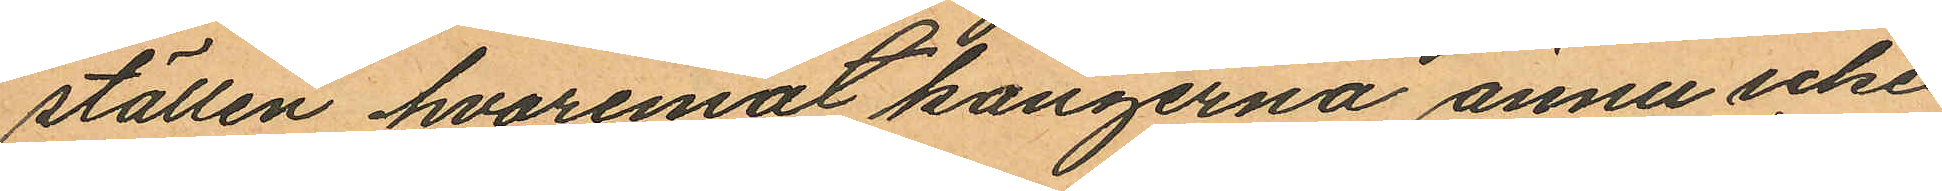ställen hvaremot kängerna ännu icke
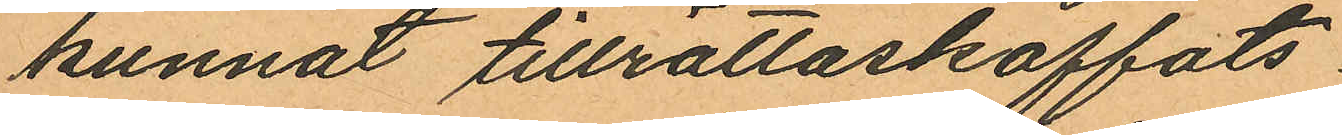kunnat tillrättaskaffats.
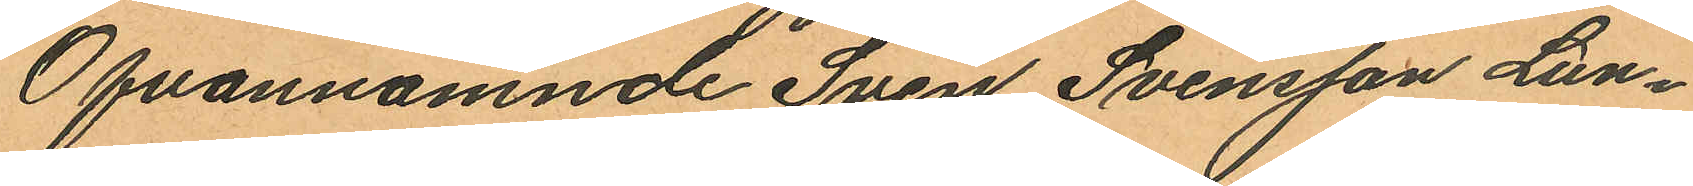Ofvannämnde Sven Svensson Lun¬
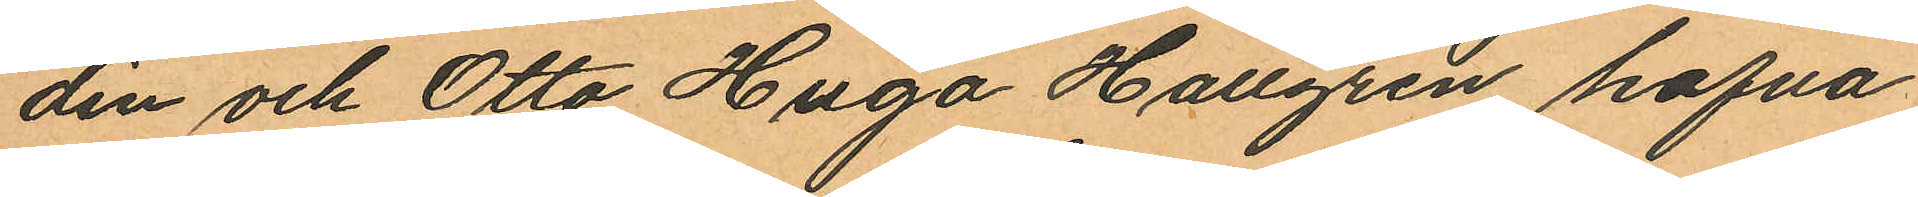din och Otto Hugo Hallgren hafva
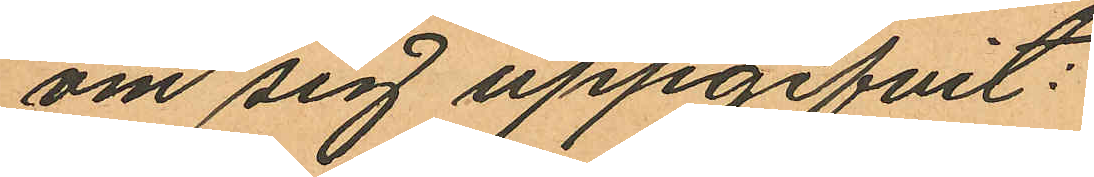om sig uppgifvit:
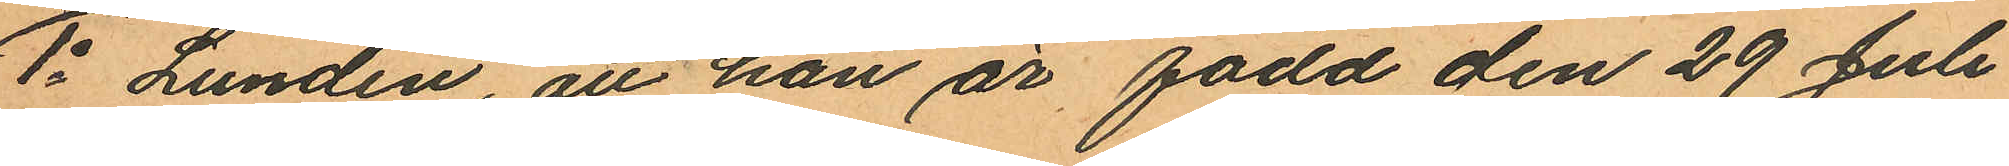1o Lundin att han är född den 29 Juli
